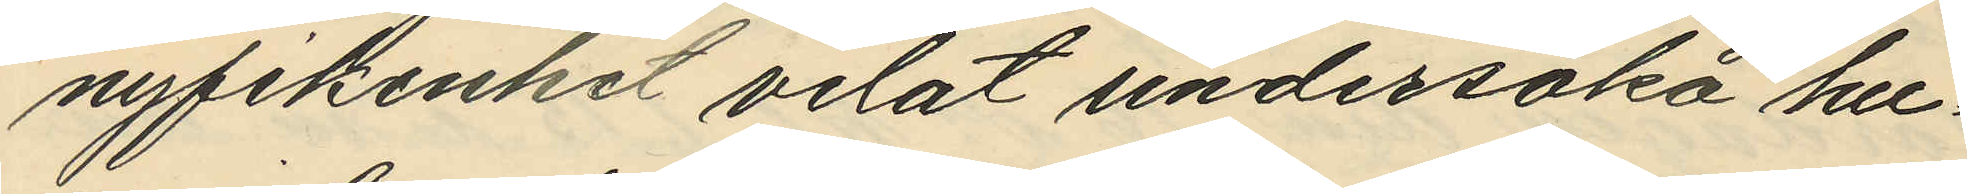nyfikenhet velat undersöka hu¬
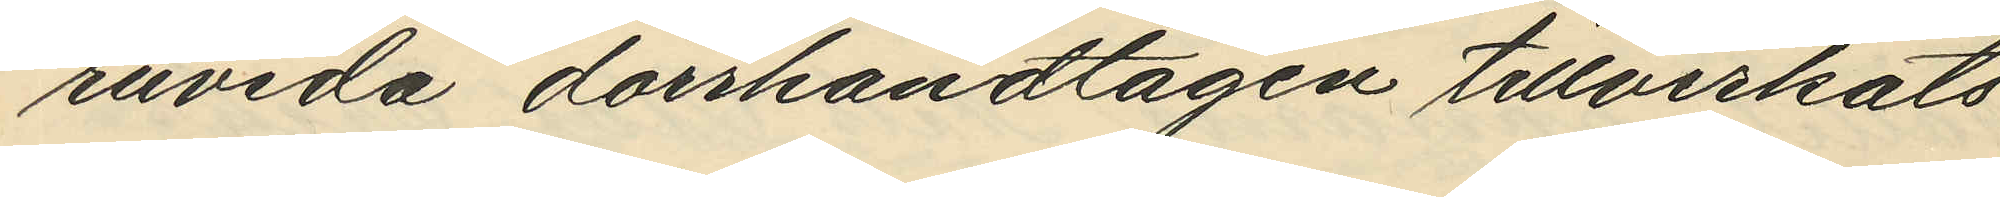ruvida dorrhandtagen tillverkats
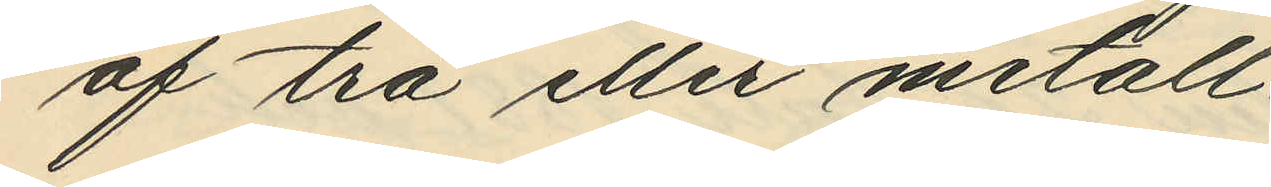af trä eller metall.
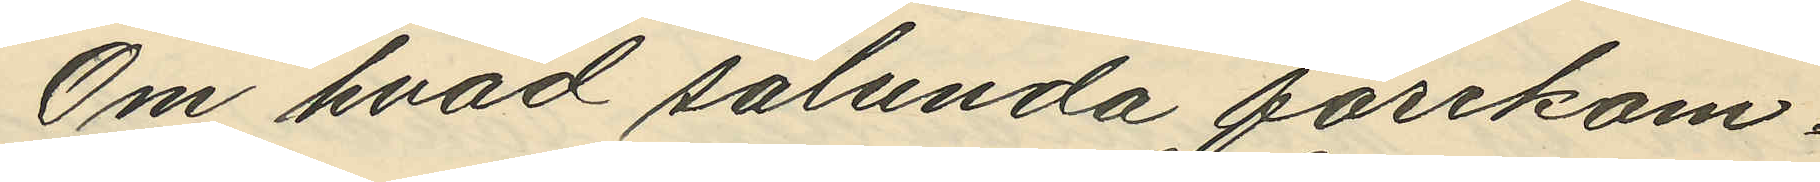Om hvad sålunda förekom¬
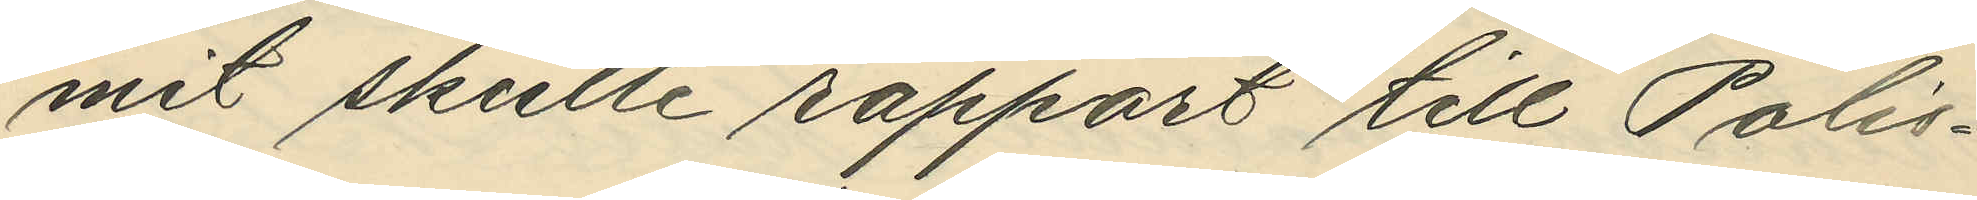mit skulle rapport till Polis¬
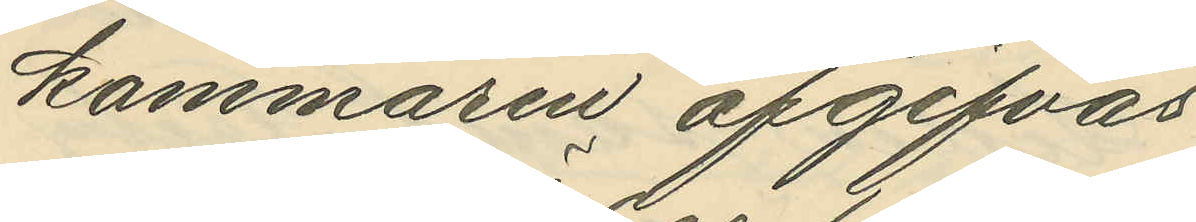kammaren afgifvas.
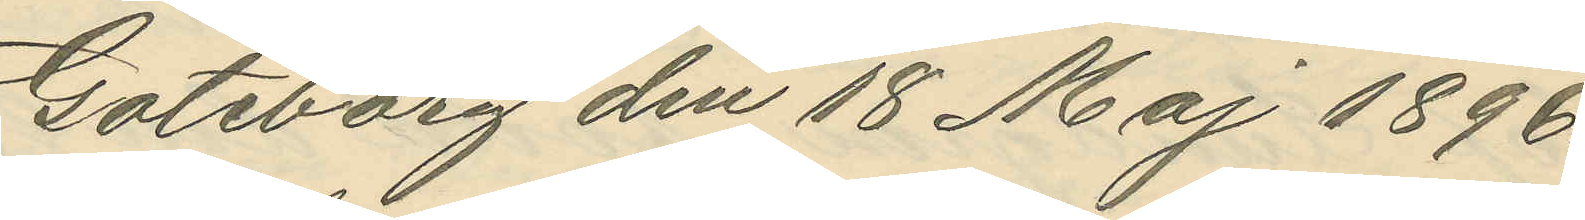Göteborg den 18 Maj 1896.
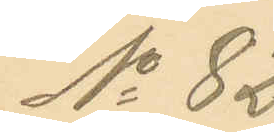No 82.
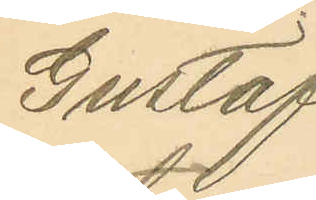Gustaf
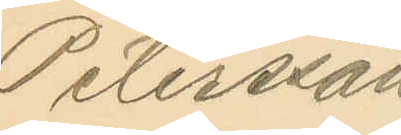Petersson
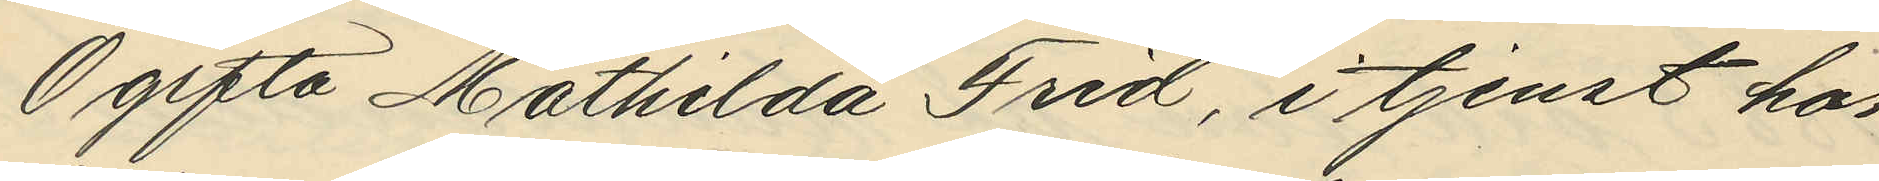Ogifta Mathilda Frid, i tjenst hos
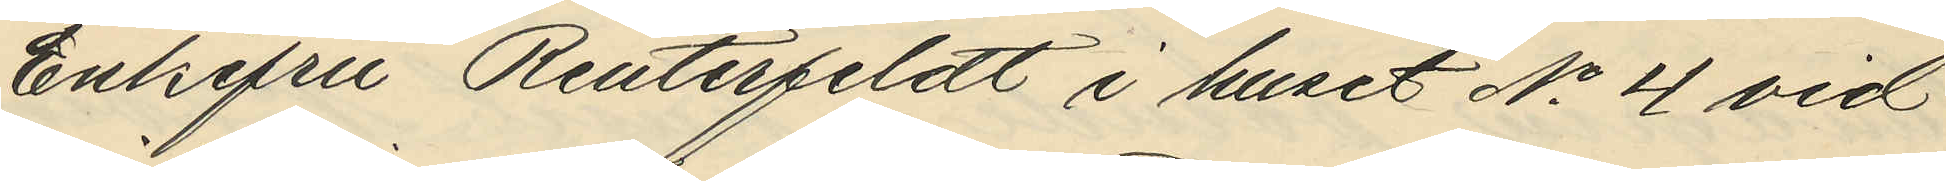Enkefru Reuterfeldt i huset No 4 vid
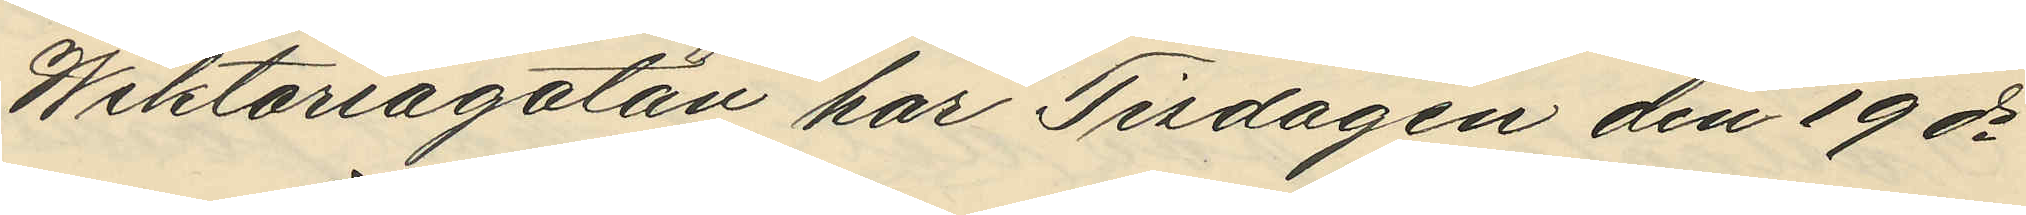Wiktoriagatan har Tisdagen den 19 ds
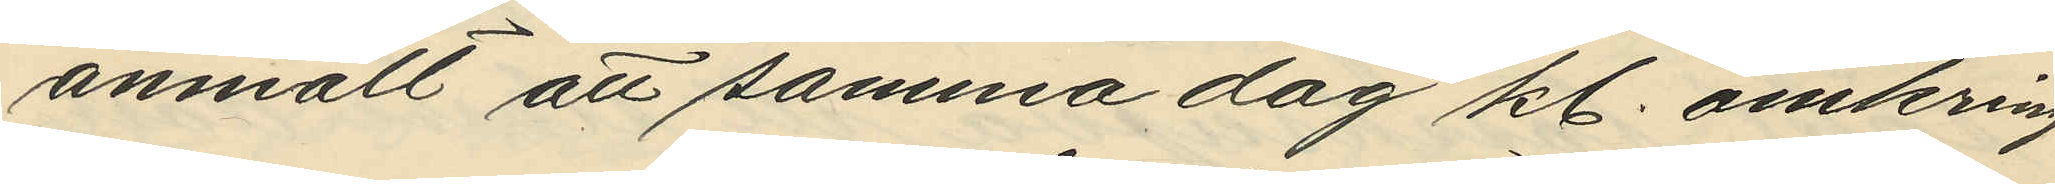anmält att samma dag kl. omkring
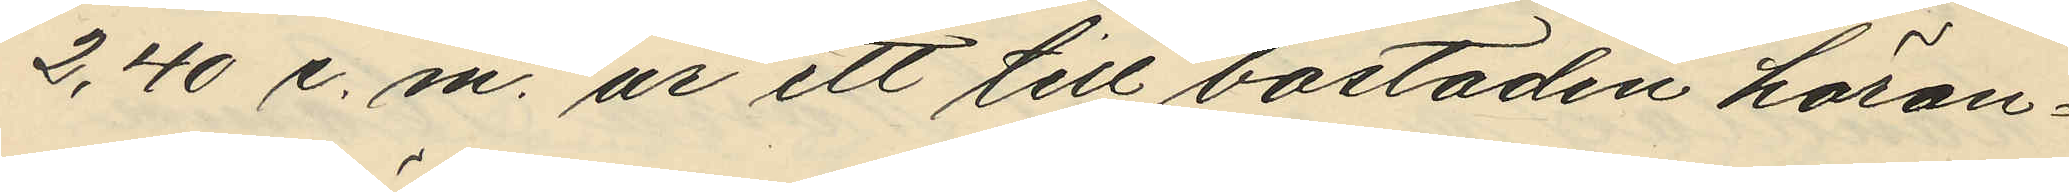2,40 e. m. ur ett till bostaden höran¬
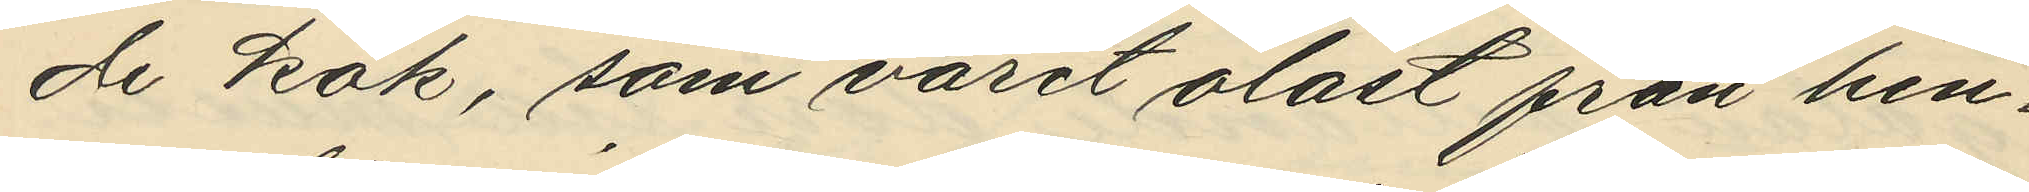de kök, som varit olåst från hen¬
